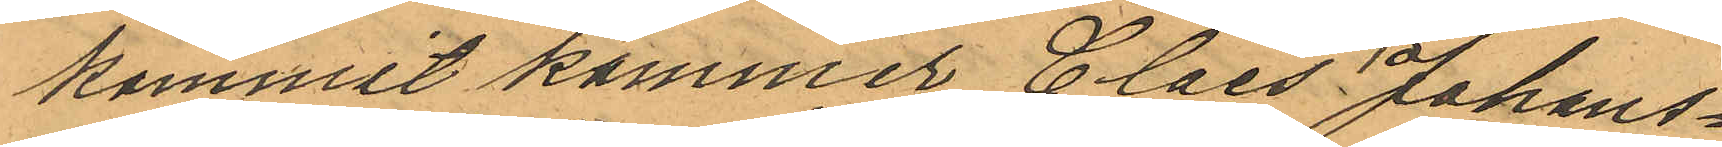kommit kommer Claes Johans¬
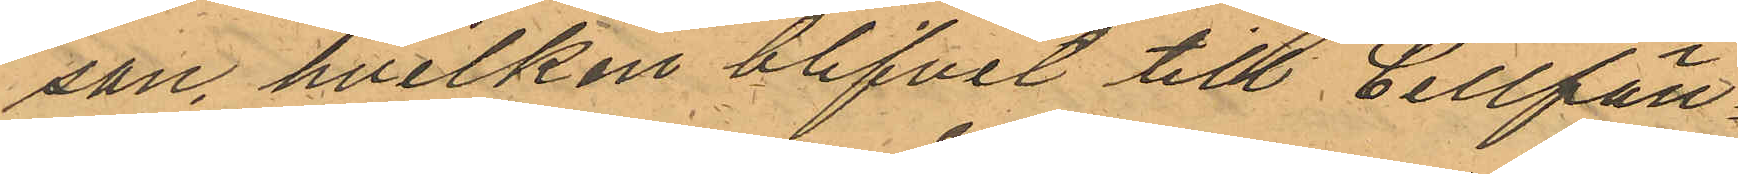son, hvilken blifvit till Cellfän¬
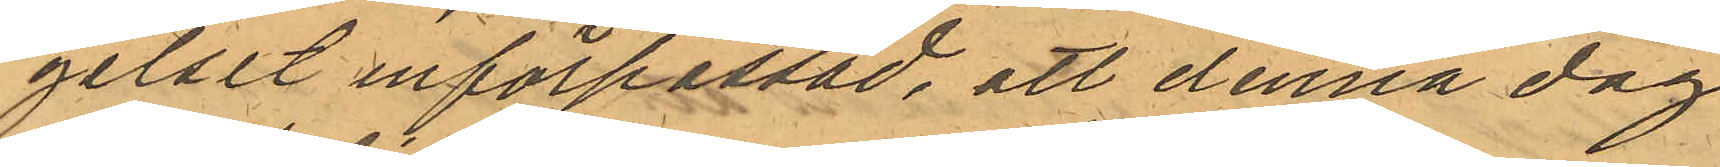gelset införpassad, att denna dag
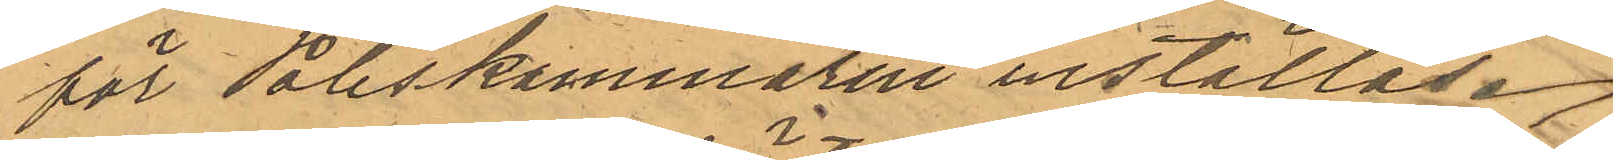för Poliskammaren inställas.
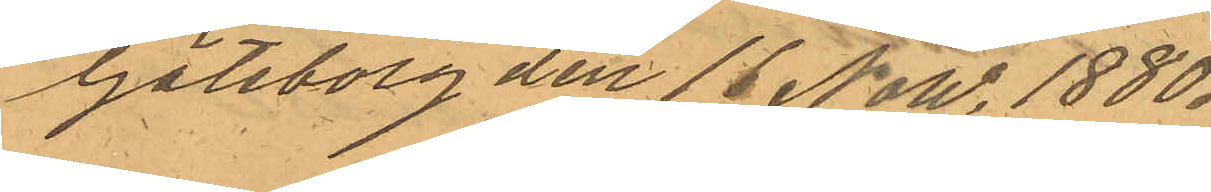Göteborg den 16 Now. 1880.
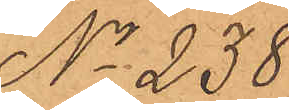No 238.
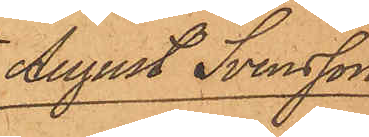August Svensson
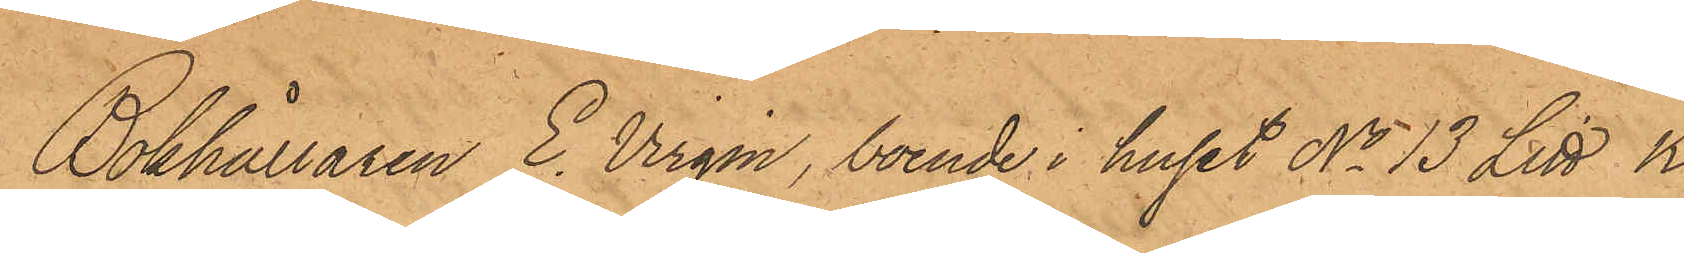Bokhållaren E. Virgin, boende i huset No 13 Litt K i
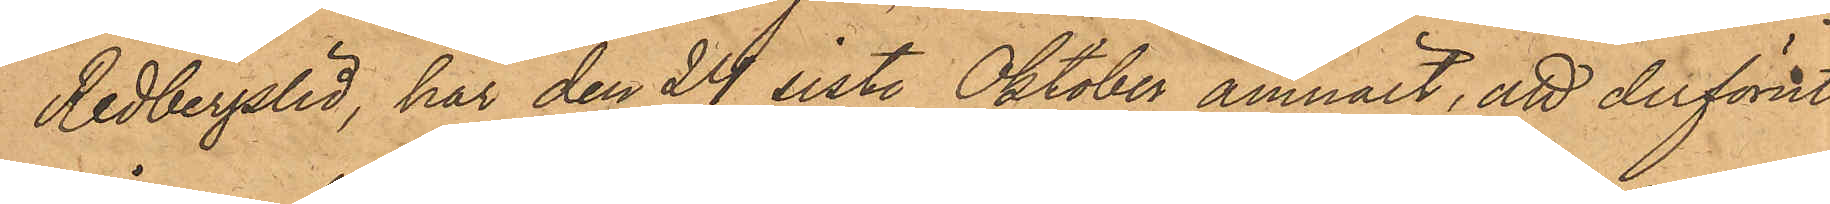Redbergslid, har den 24 sist. Oktober anmält, att derförut¬
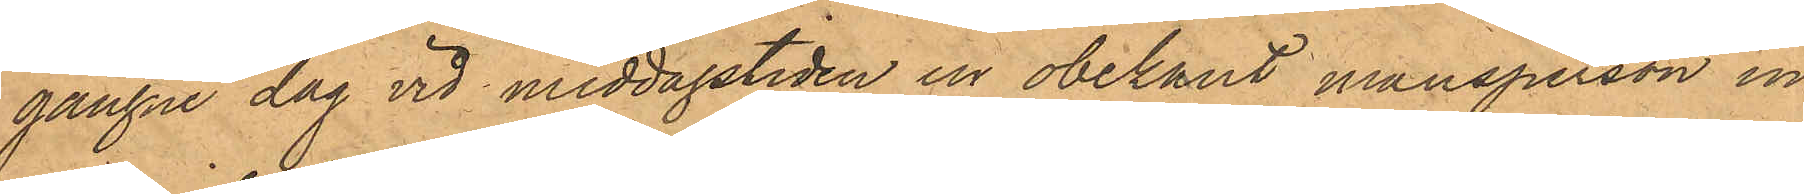gångne dag vid middagstiden en obekant mansperson in¬
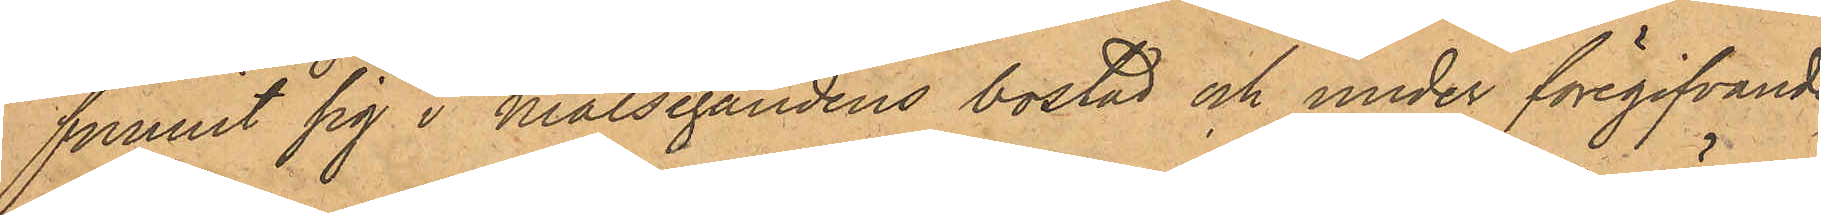funnit sig i Målsegandens bostad och under föregifvande
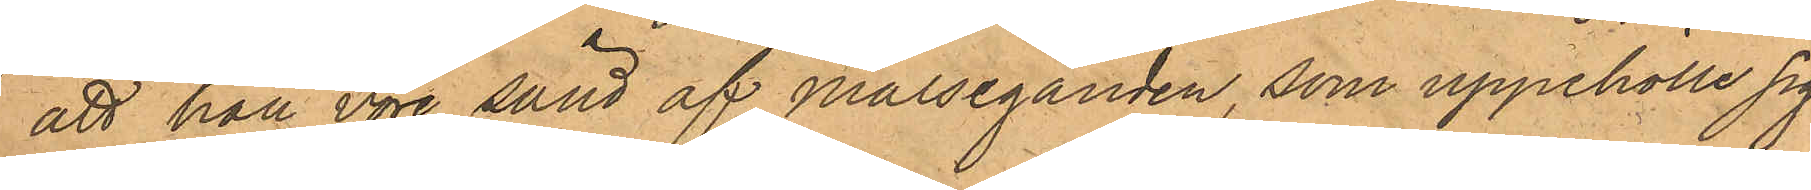att han vore sänd af Målseganden, som uppehölle sig
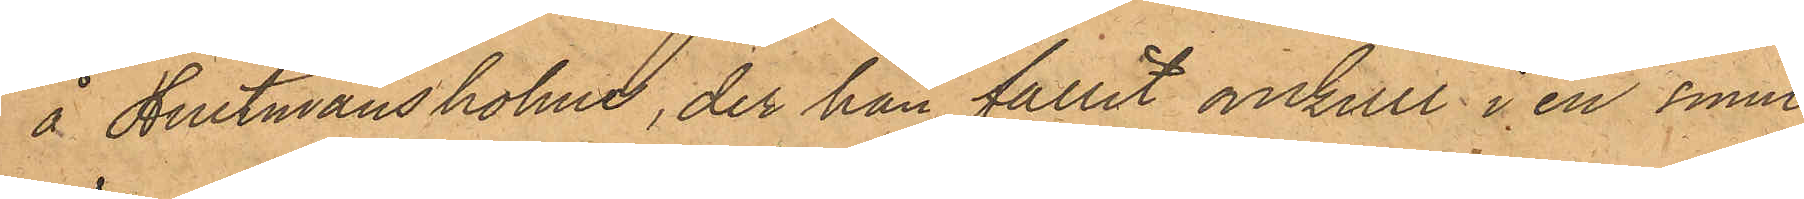å Hultmans holme, der han fallit omkull i en smuts¬
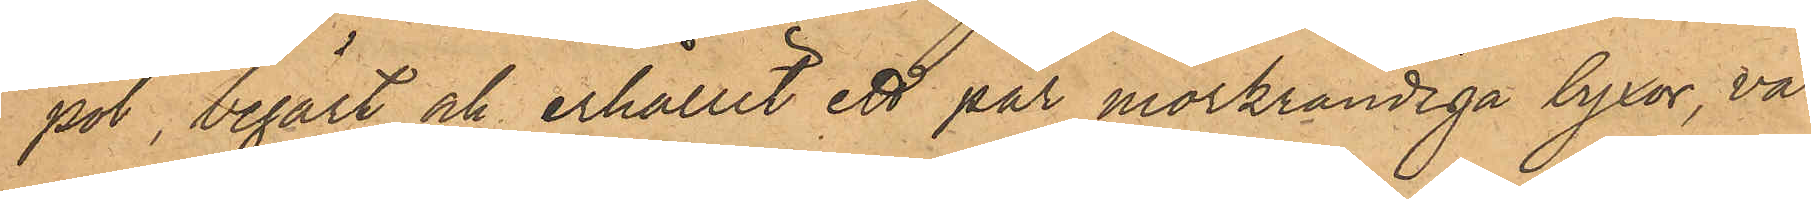pöl, begärt och erhållit ett par mörkrandiga byxor, vär¬
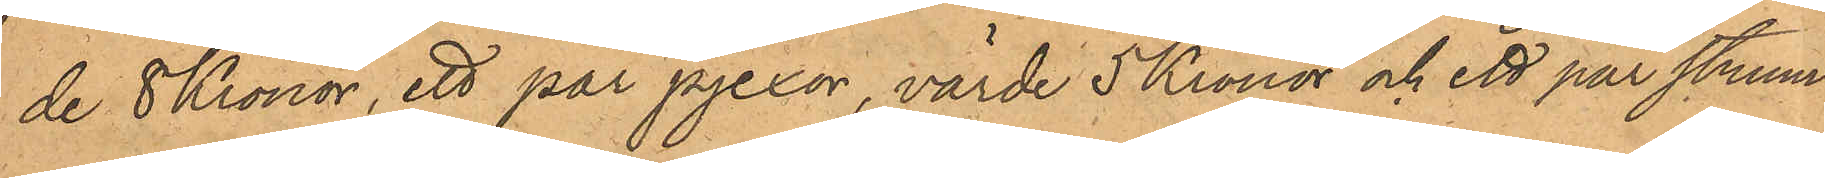de 8 Kronor, ett par pjexor, värde 5 Kronor och ett par strum¬
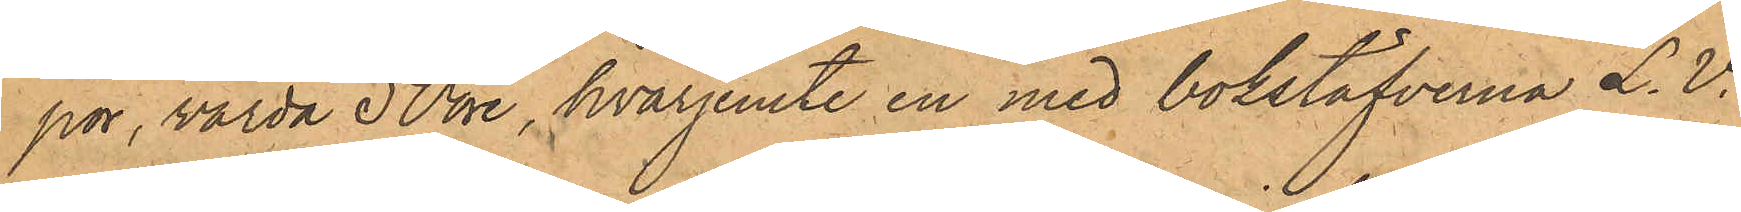por, värda 50 öre, hvarjemte en med bokstafverna L.V.
